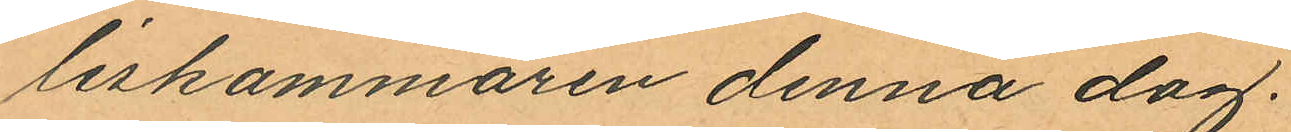liskammaren denna dag.
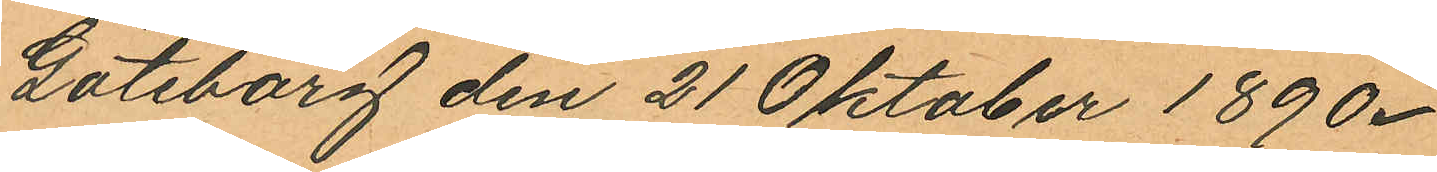Göteborg den 21 Oktober 1890.
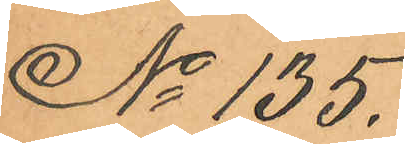No 135.
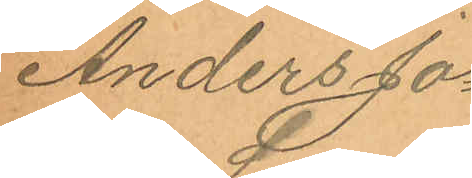Anders Jo¬
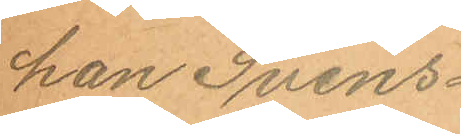han Svens¬
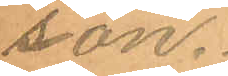son.
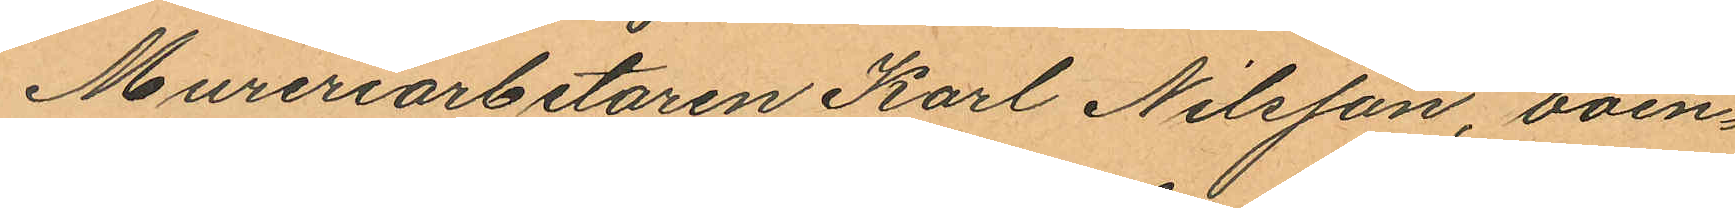Mureriarbetaren Karl Nilsson, boen¬
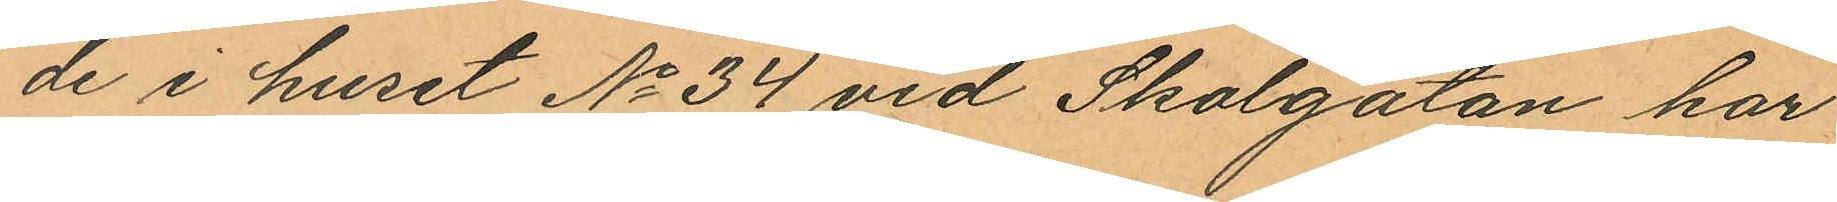de i huset No 34 vid Skolgatan har
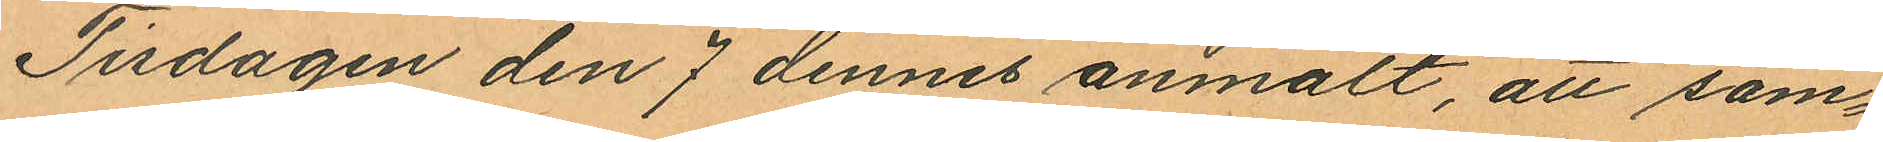Tisdagen den 7 dennes anmält, att sam¬
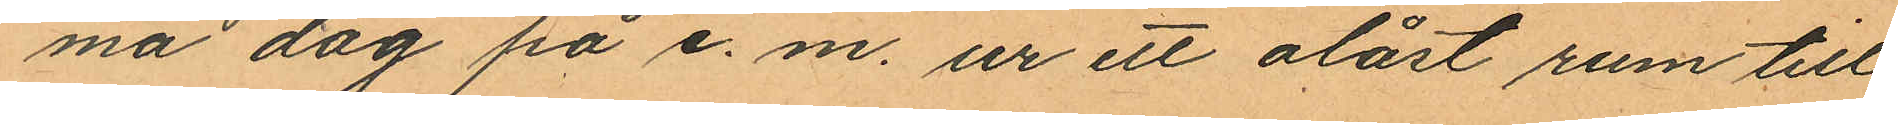ma dag på e. m. ur ett olåst rum till
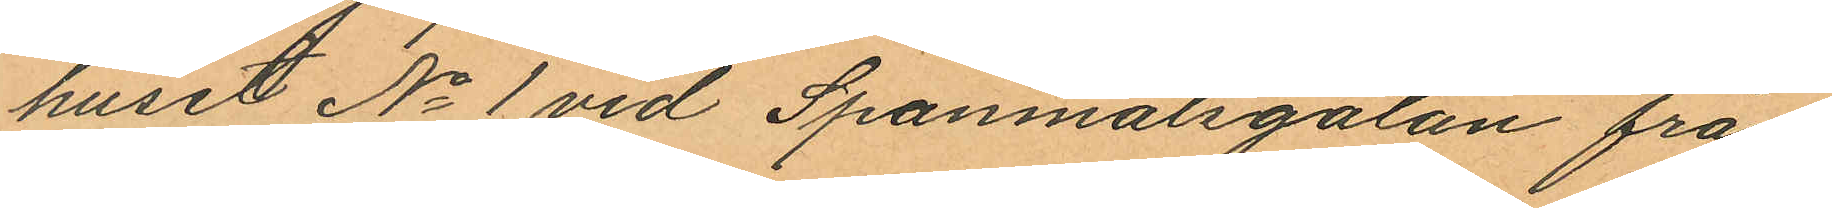huset No 1 vid Spannmålsgatan från
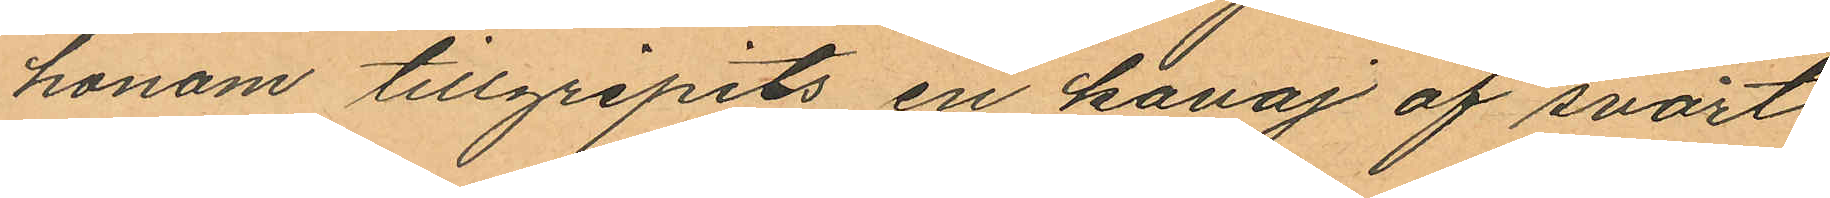honom tillgripits en kavaj af svart
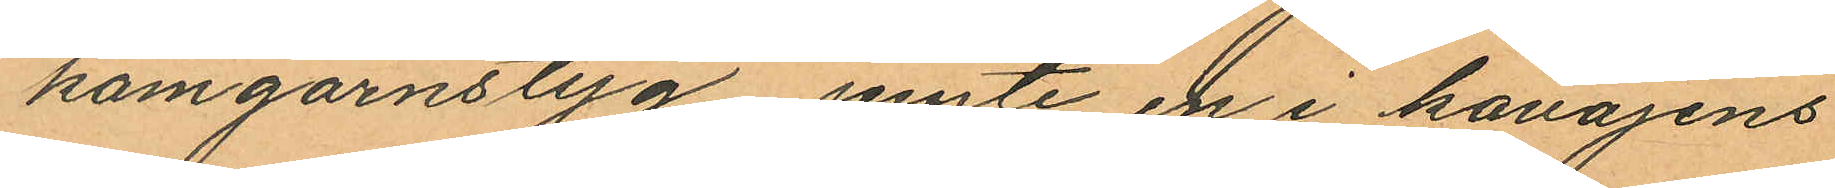kamgarnstyg jemte en i kavajens
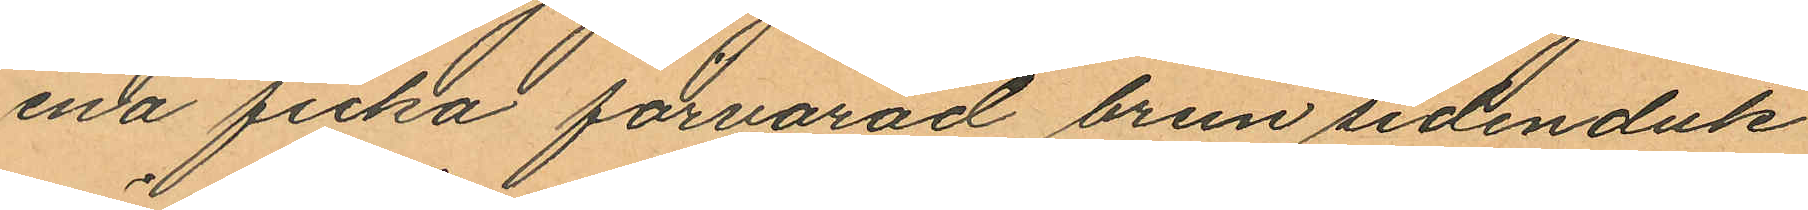ena ficka förvarad brun sidenduk
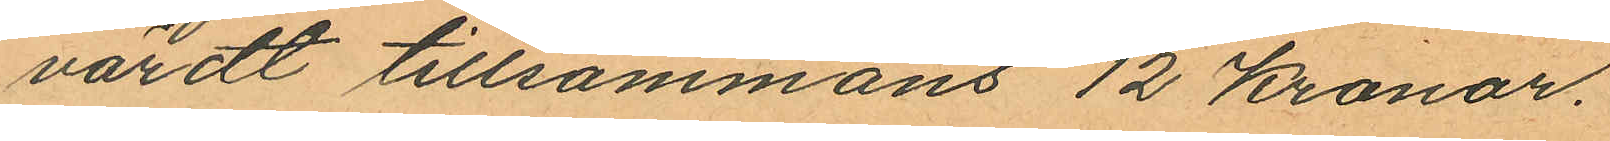värdt tillsammans 12 Kronor.
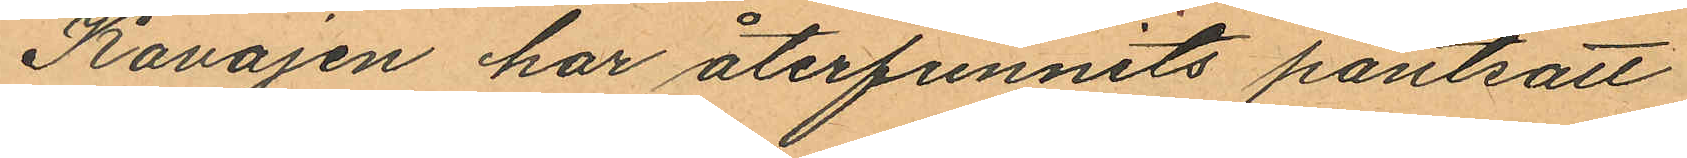Kavajen har återfunnits pantsatt
